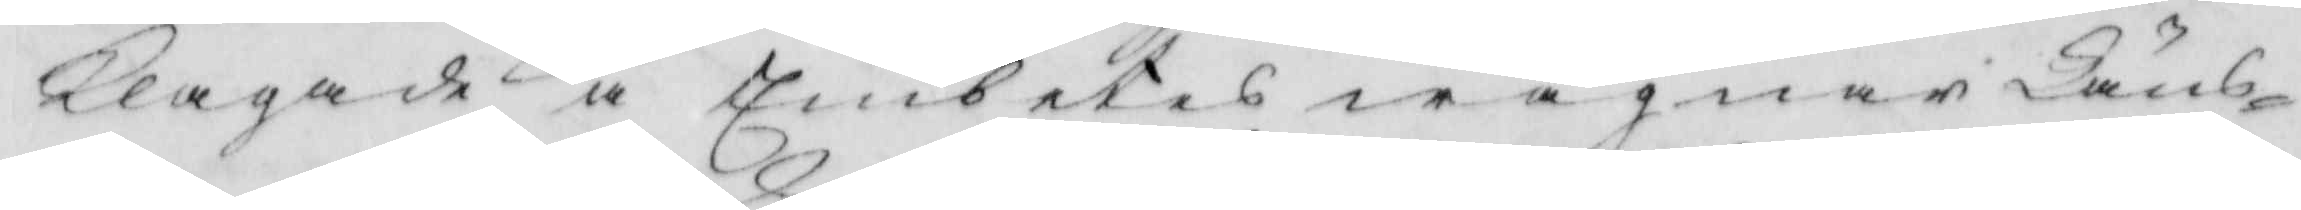klagade å Embetets wägnar Läns¬
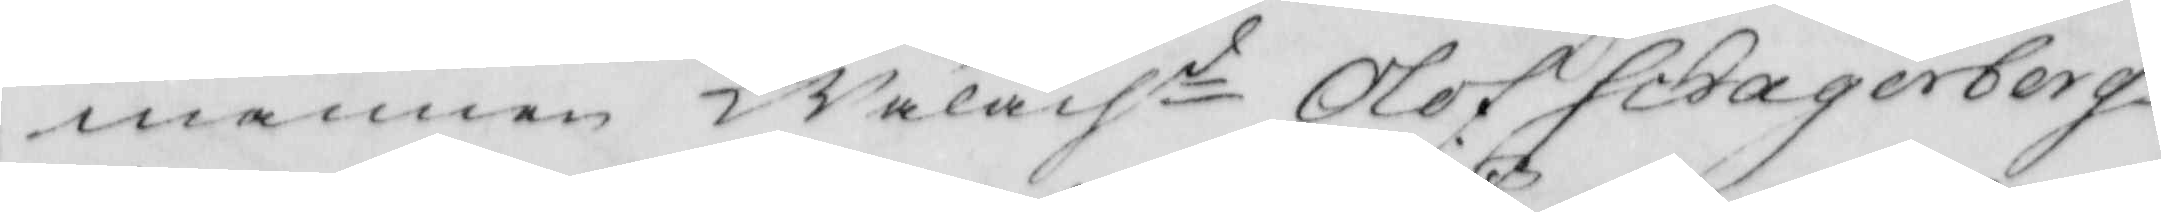mannen Wälachd Olof Schagerberg
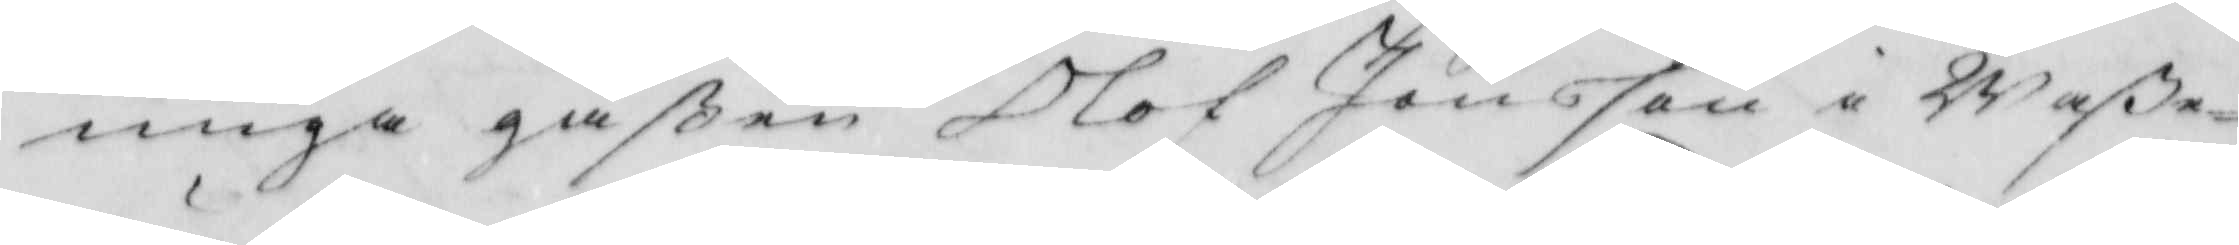unga gåßen Olof Jönsson i Waß¬
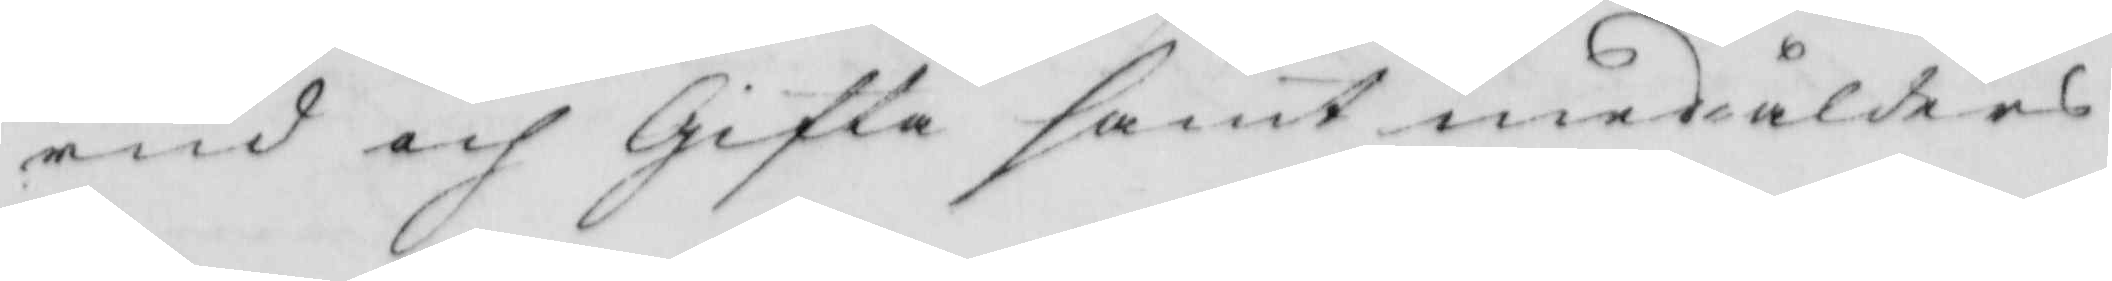rud och Gifla samt medålders
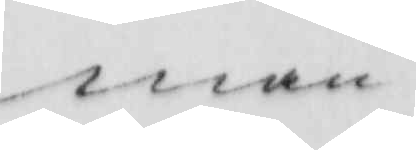man
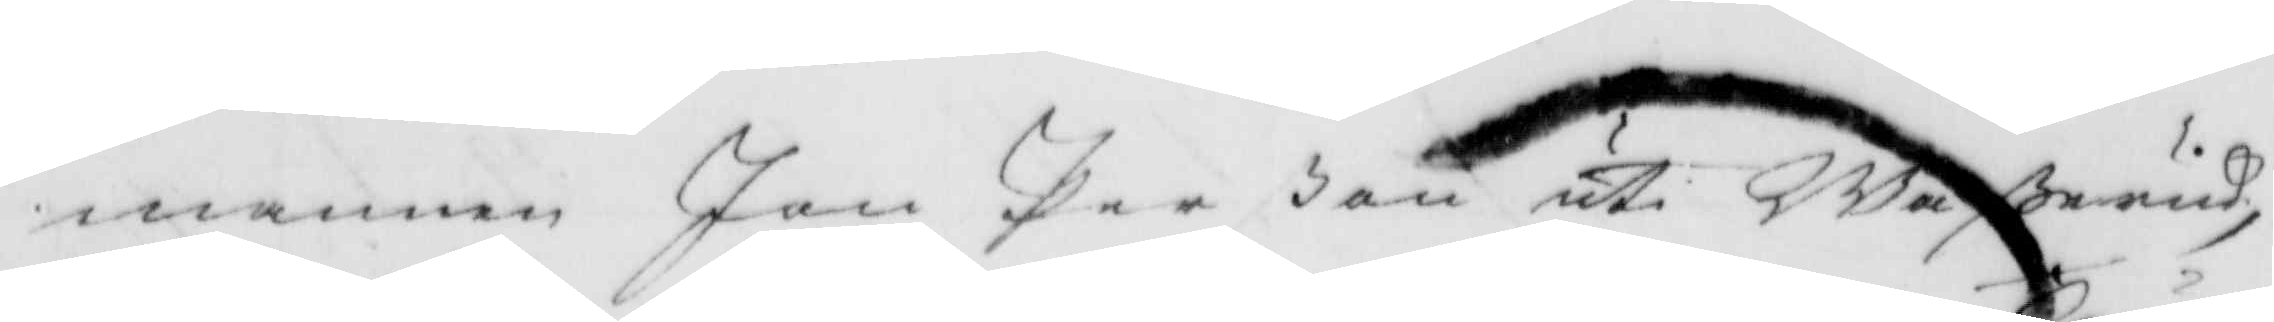mannen Jan Perßon uti Waßerud,
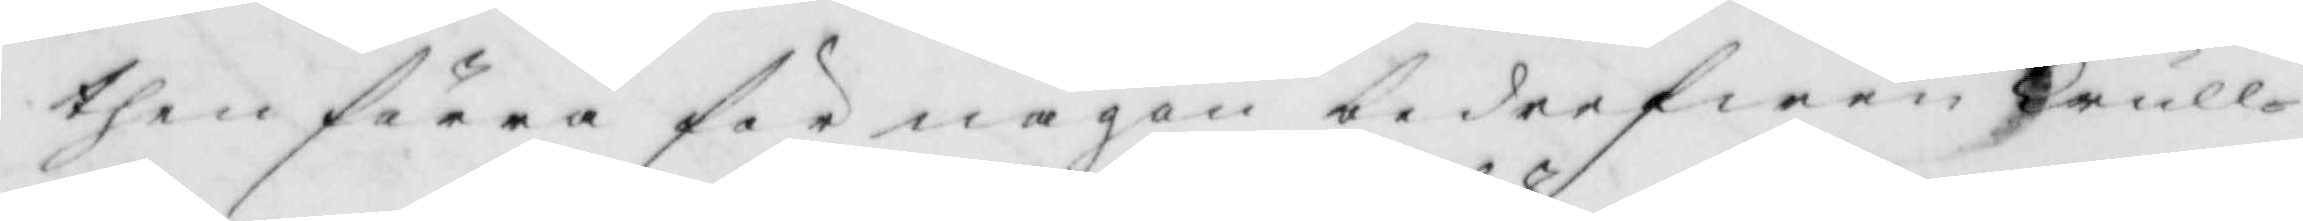then förra för någon bedrefwen Trull¬
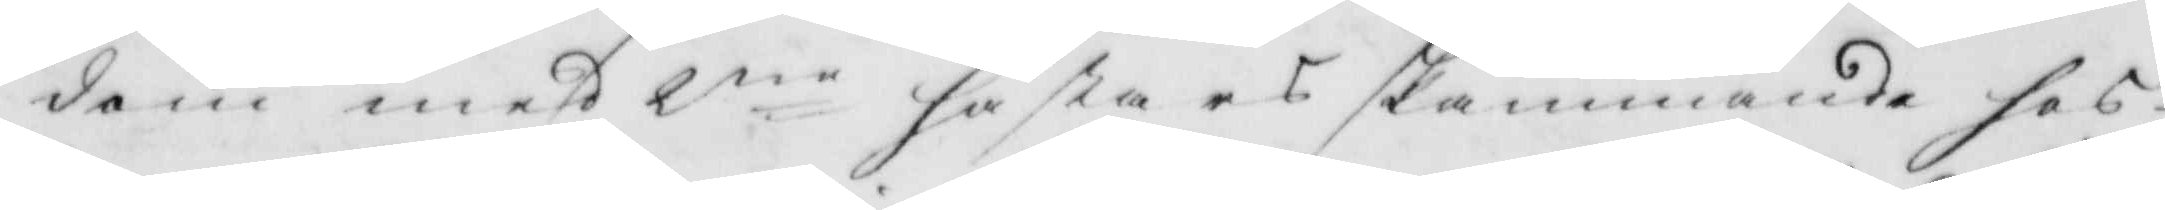dom medh 2ne hästas skämmande hos
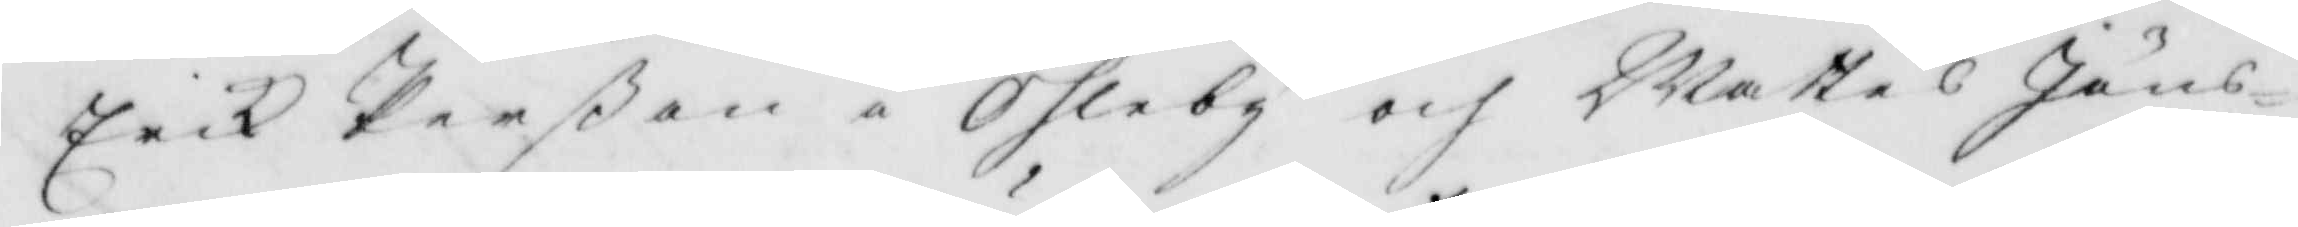Erik Perßon i Ohleby och Mattes Jöns¬
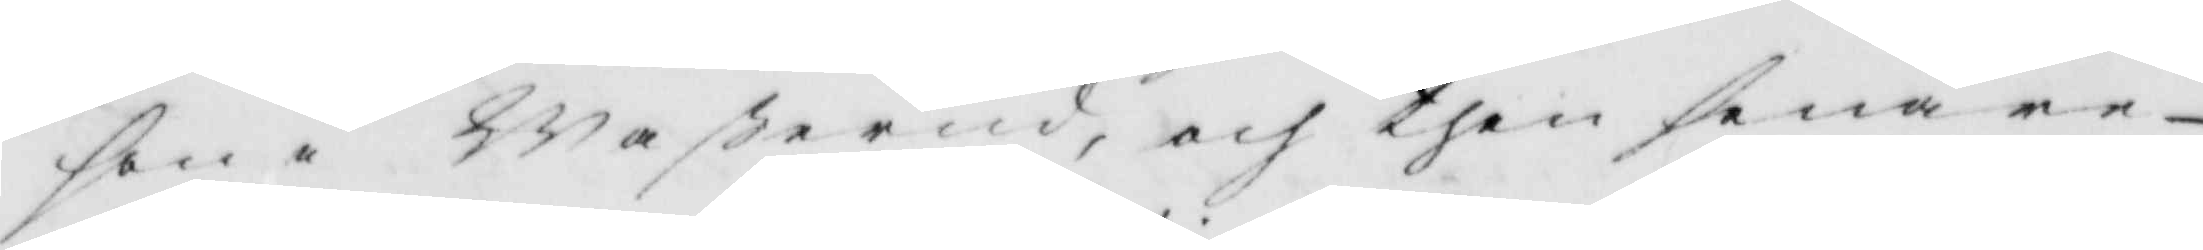son i Waßerud, och then senare
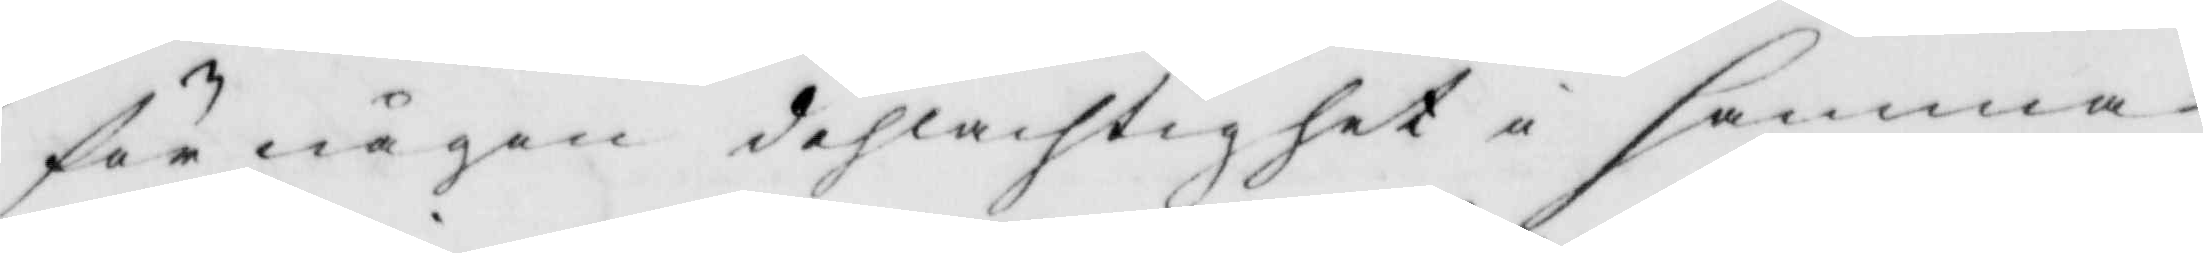för någon dehlachtighet i samma
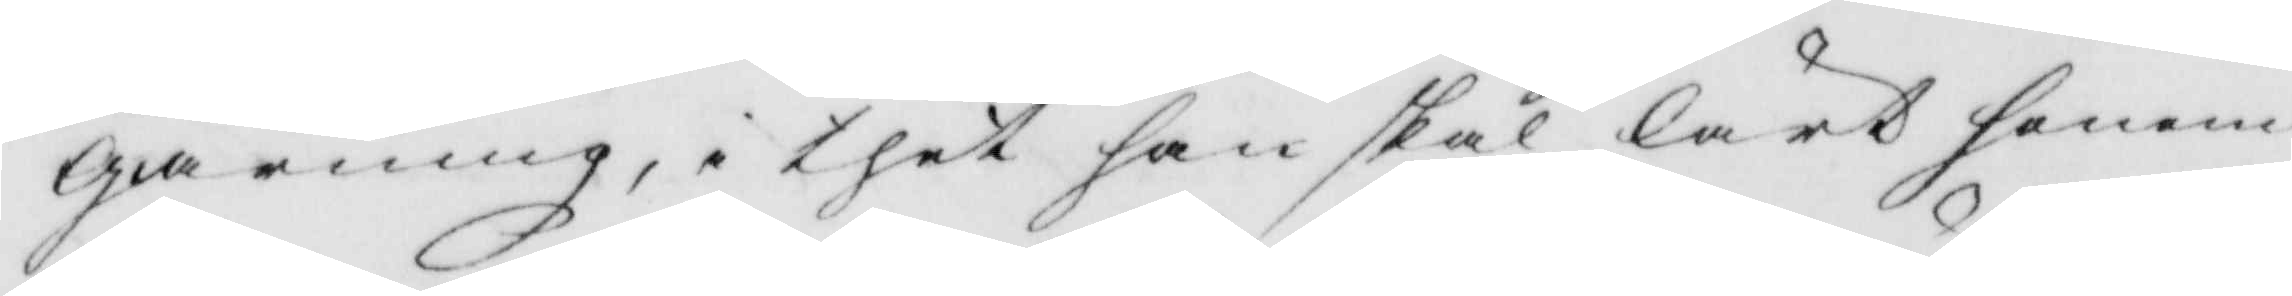giärning, i thet han skal lärt honom
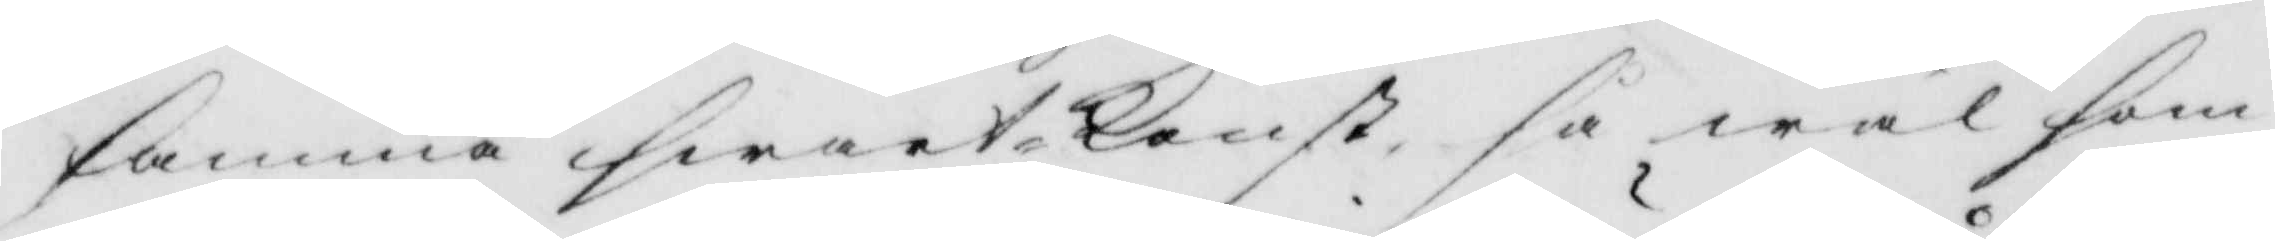samma swart konst, så wäl som
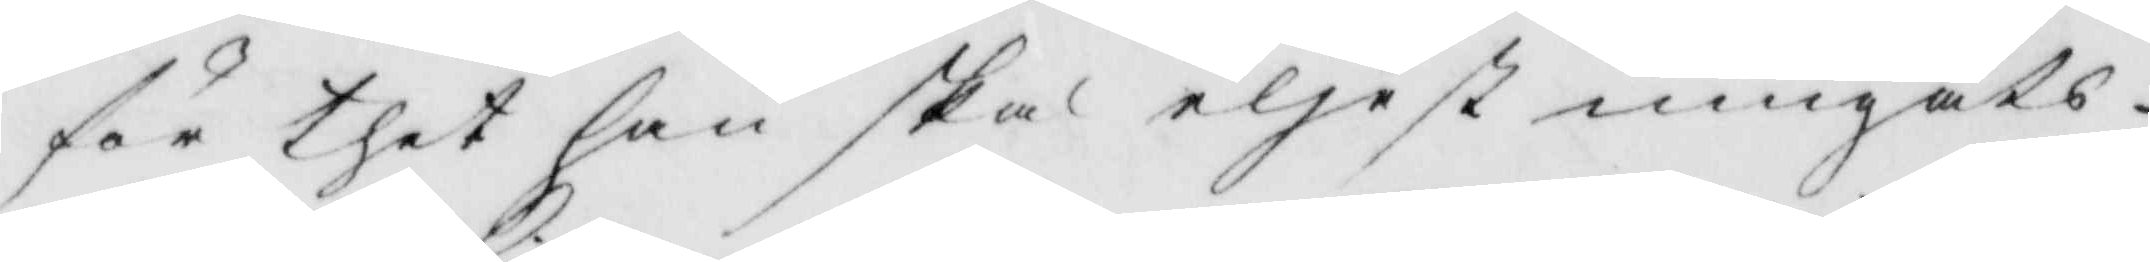för thet han skal eliest umgåts
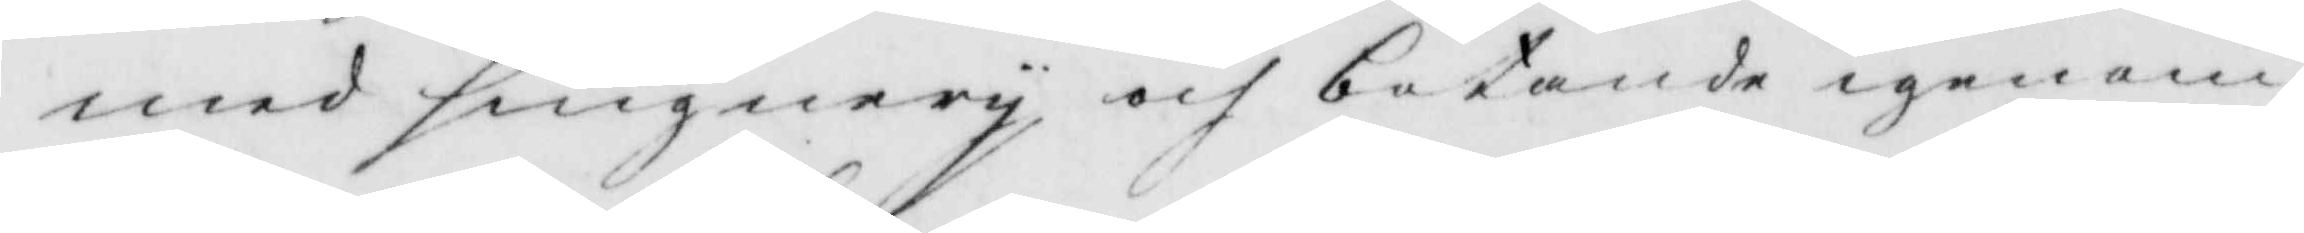med singnery och botande igenom
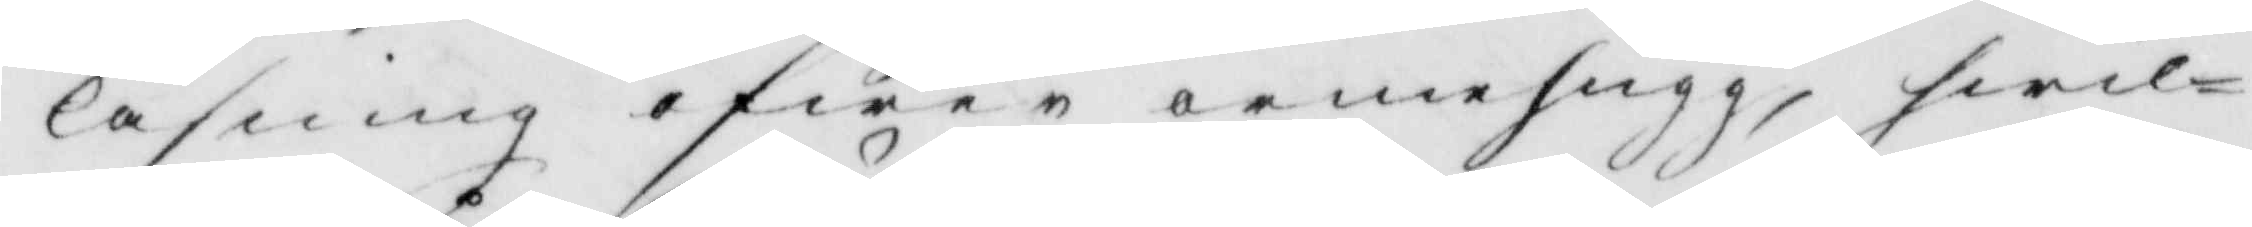läsning öfwer armehugg, hwil¬
